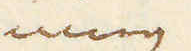ning
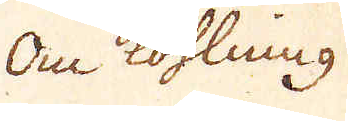Om Kohlning
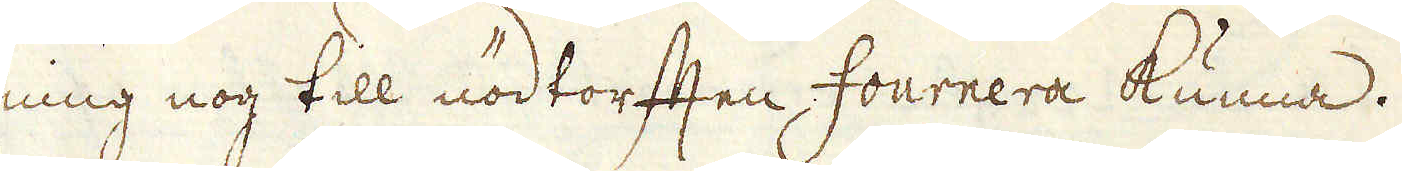ning nog till nödtorften fournera kunna.
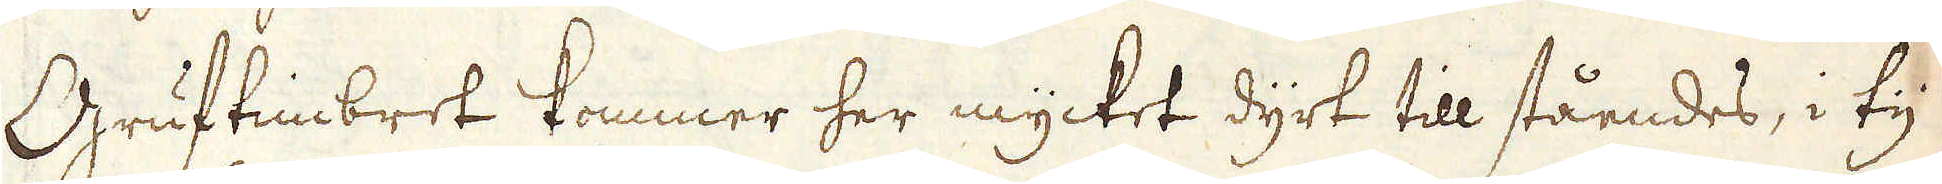Gruftimbret kommer her mycket dyrt till ståendes, i ty
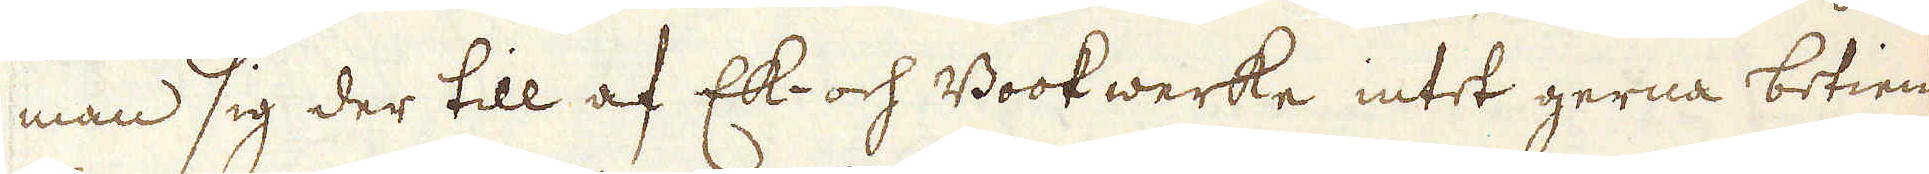man sig der till af Ek- och Bookwerke intet gerna betiena
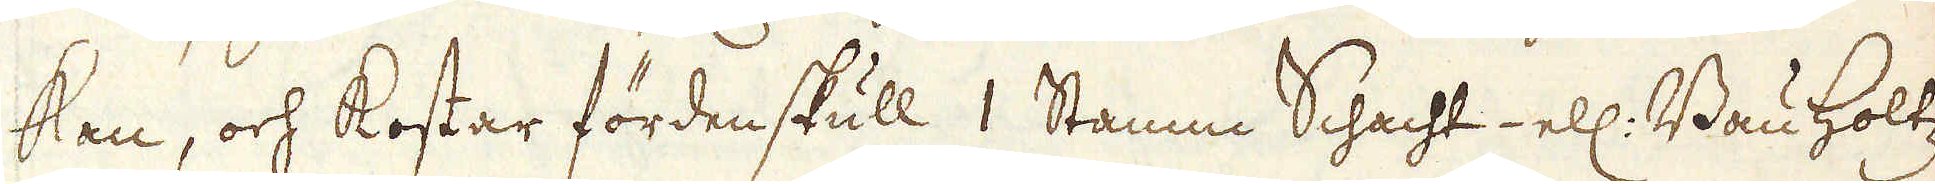kan, och kostar fördenskull 1 Stamm Schacht ell: Bauholtz
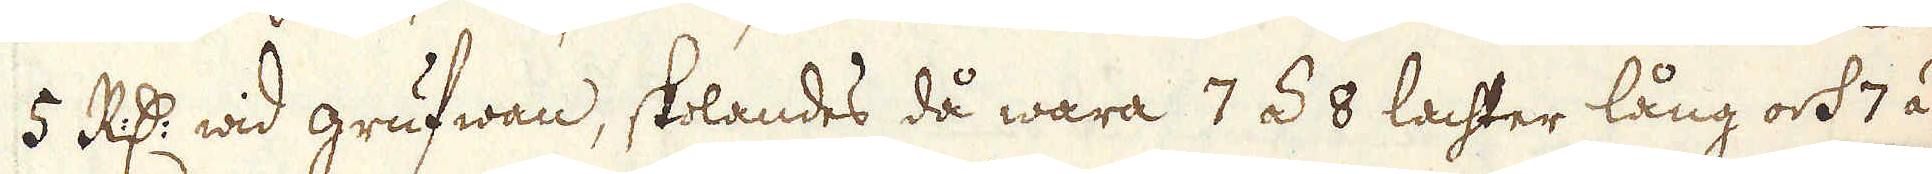5 R:dr wid grufwan, skolandes då wara 7 á 8 lachter lång och 7 á
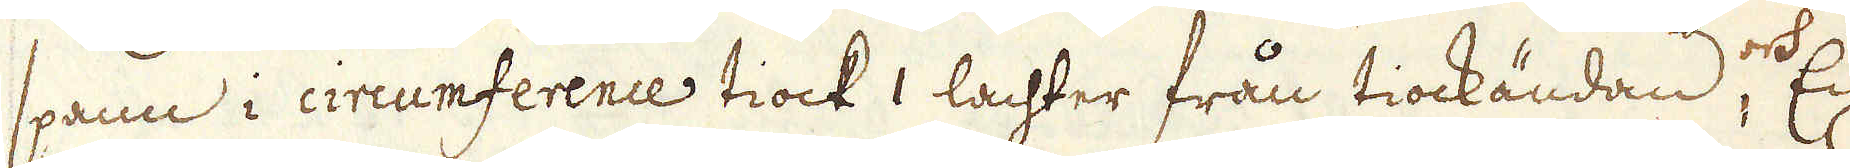spann i circumferences tiock 1 lachter från tiockändan, och En
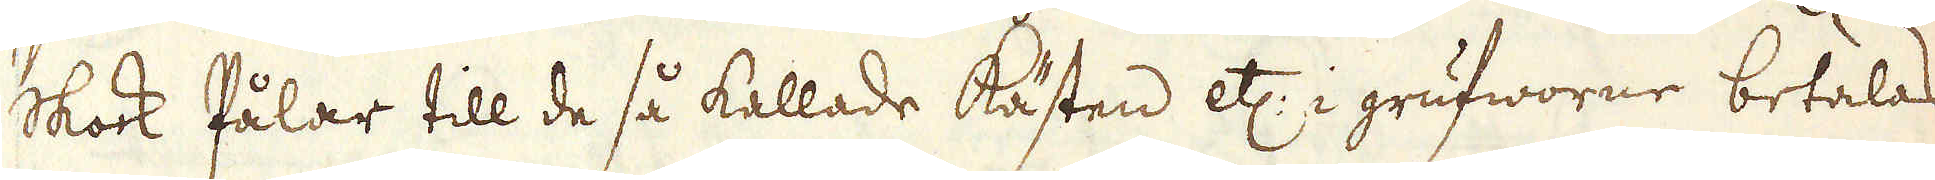skock Pålar till de så kallade Kästen etc: i grufworne betalas
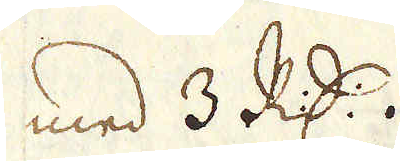med 3 R:dr.
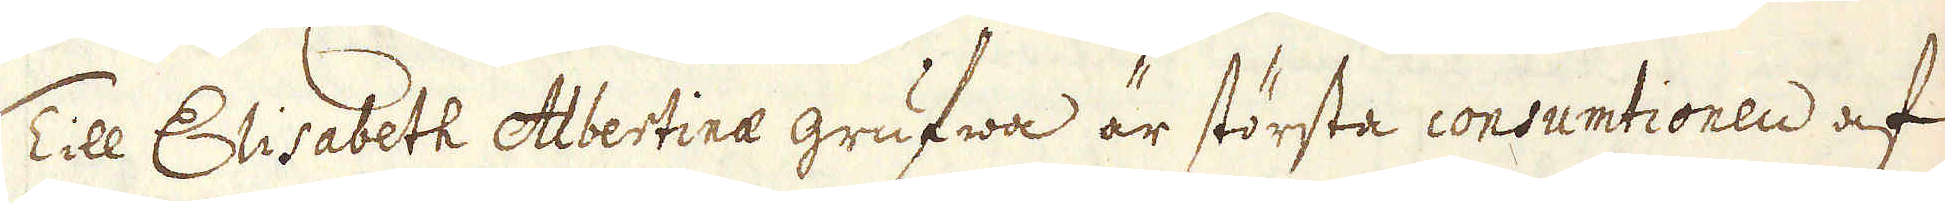Till Elisabeth Albertinae grufwa är största consumtionen af
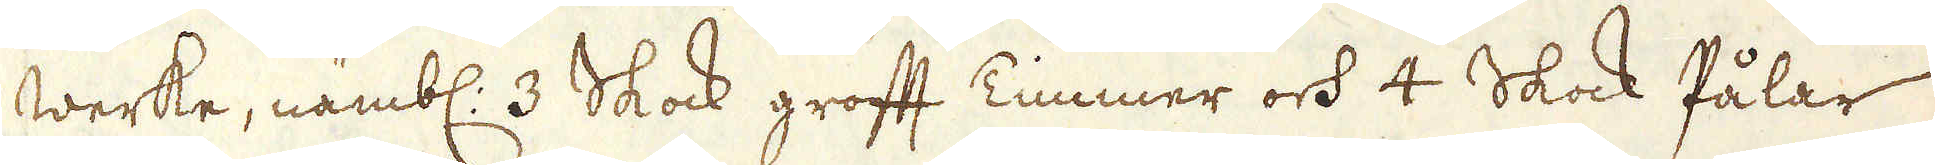werke, nämbl. 3 Skock groft Timmer och 4 Skock Pålar
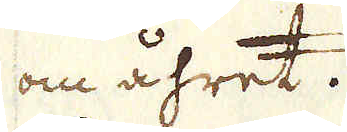om åhret.
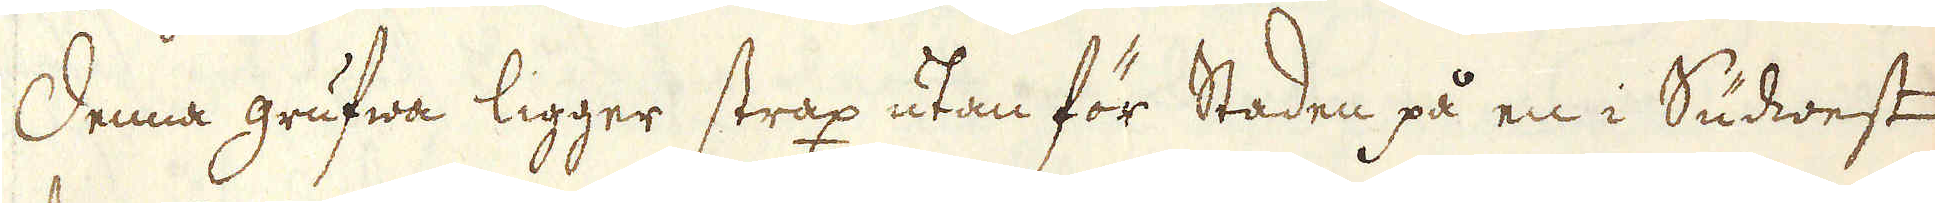Denna grufwa ligger strax utanför Staden på en i Sudwest
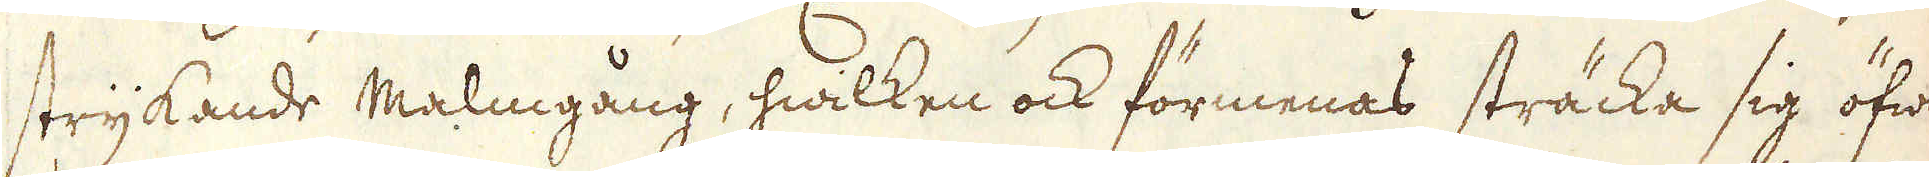strykande malmgång, hwilken ock förmenas sträcka sig öfwer
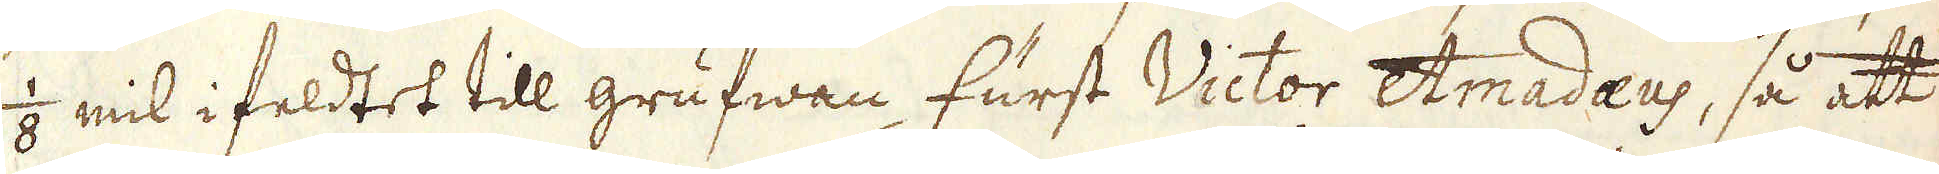1/8 mil i feldtet till grufwan furst Victor Amadaeus, så att
